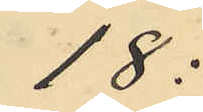18:
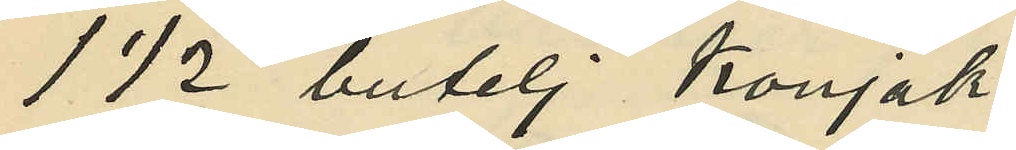1 1/2 butelj konjak
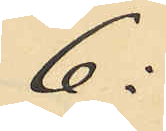6:
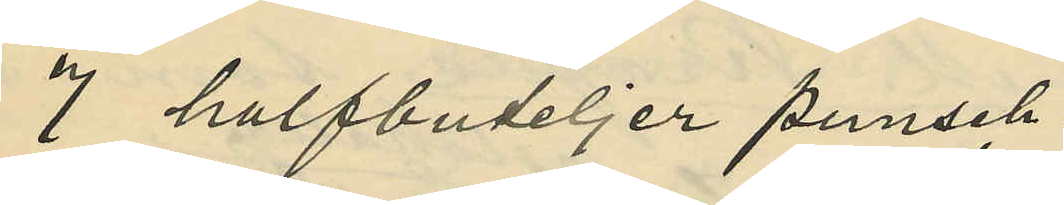7 halfbuteljer punsch
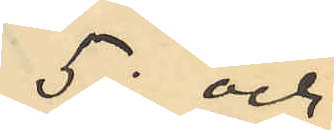5: och
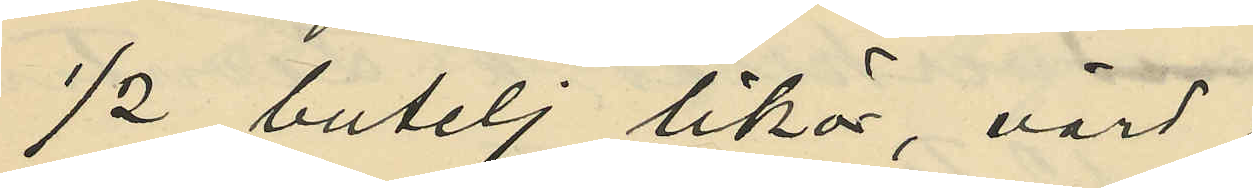1/2 butelj likör, värd
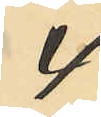4
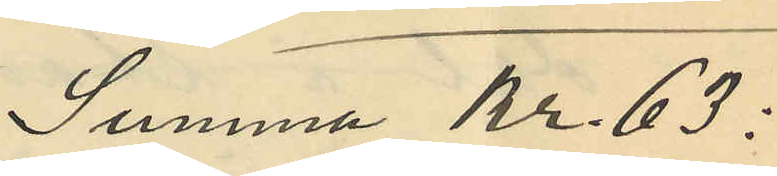Summa Kr. 63:
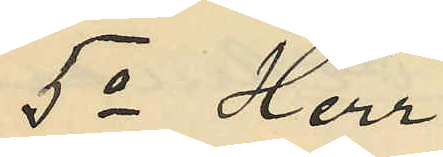5o Herr
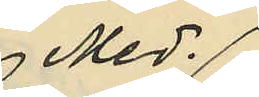Med.
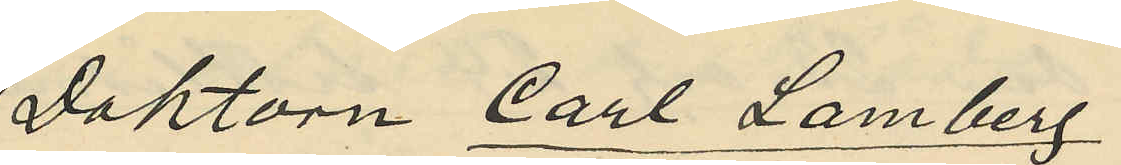Doktorn Carl Lamberg
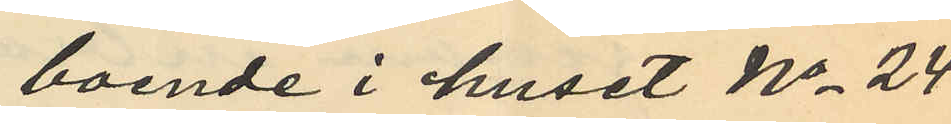boende i huset No 24
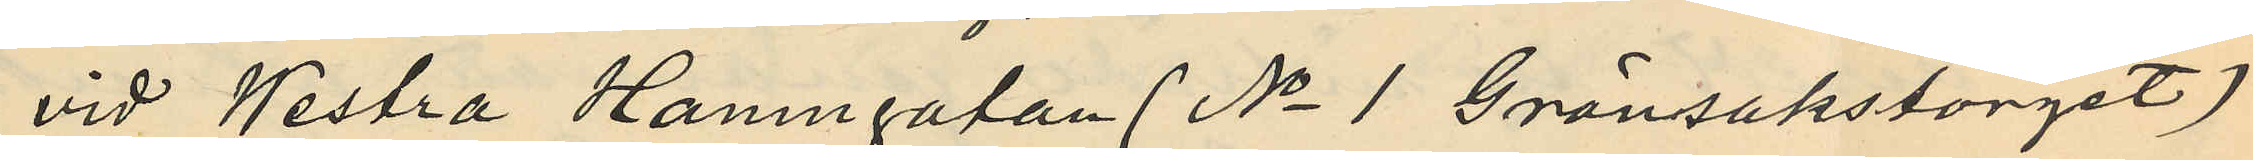vid Westra Hamngatan (No 1 Grönsakstorget)
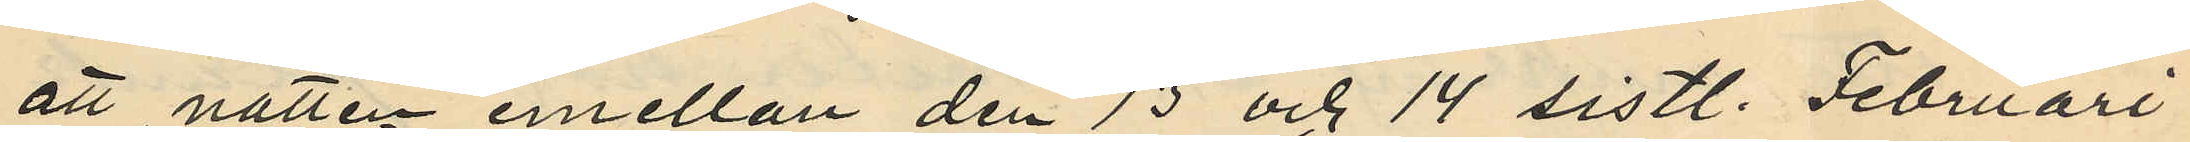att natten emellan den 13 och 14 sistl. Februari
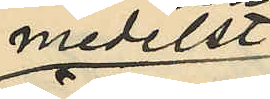medelst
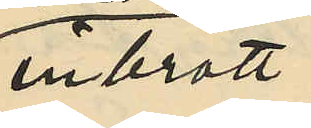inbrott
